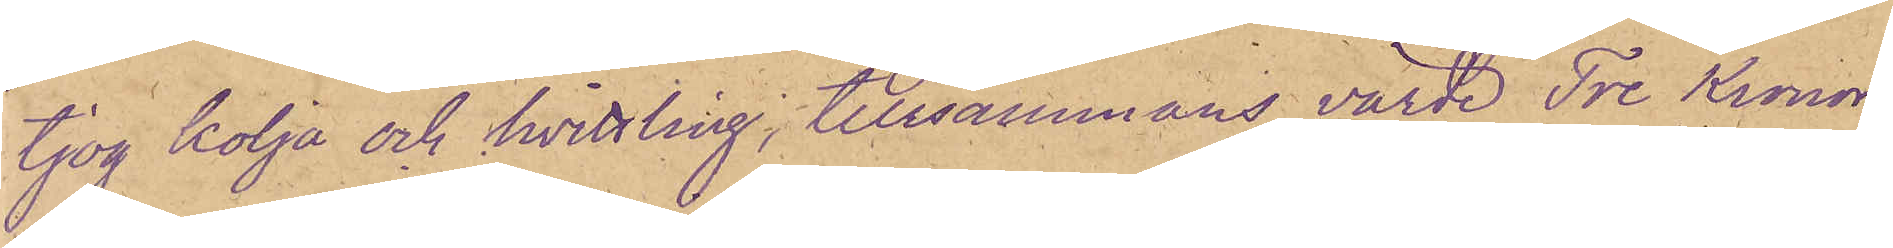tjog kolja och hvittling, tillsammans värde Tre Kronor
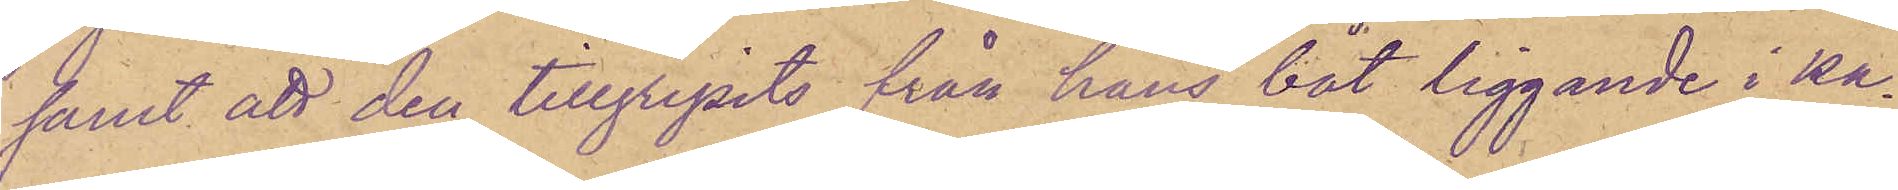samt att den tillgripits från hans båt liggande i ka¬
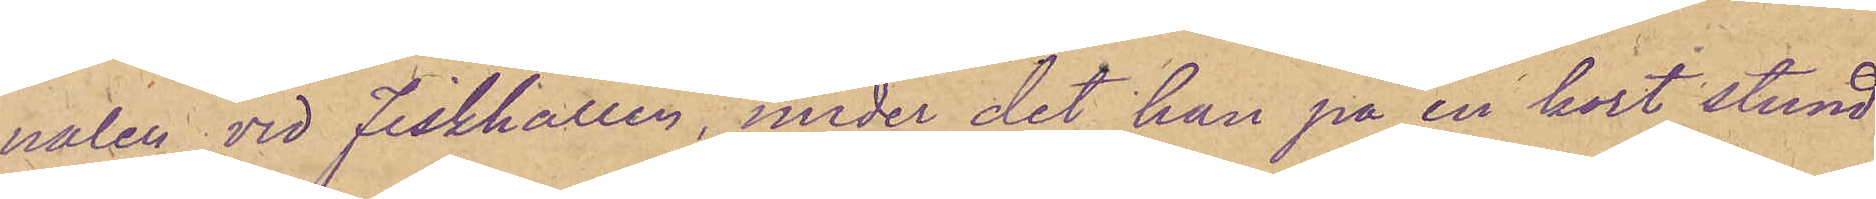nalen vid Fiskhallen, under det han på en kort stund
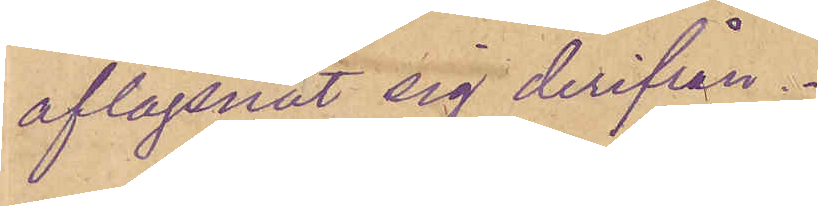aflägsnat sig derifrån.
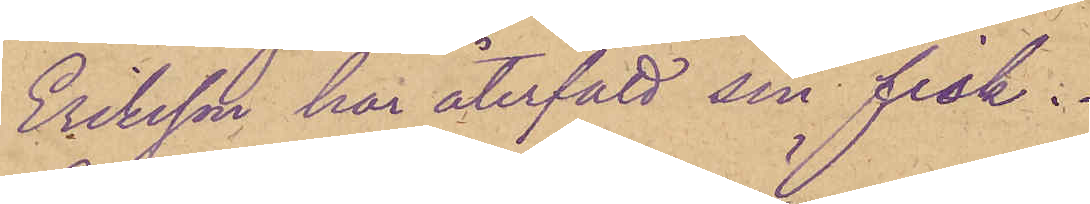Eriksson har återfått sin fisk.
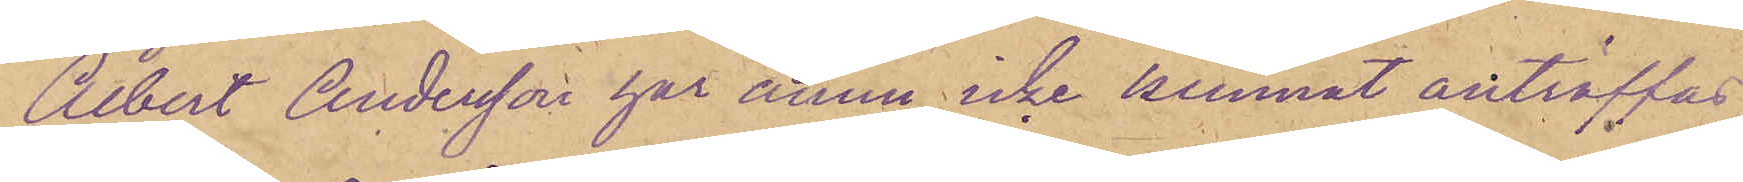Albert Andersson har ännu icke kunnat anträffas
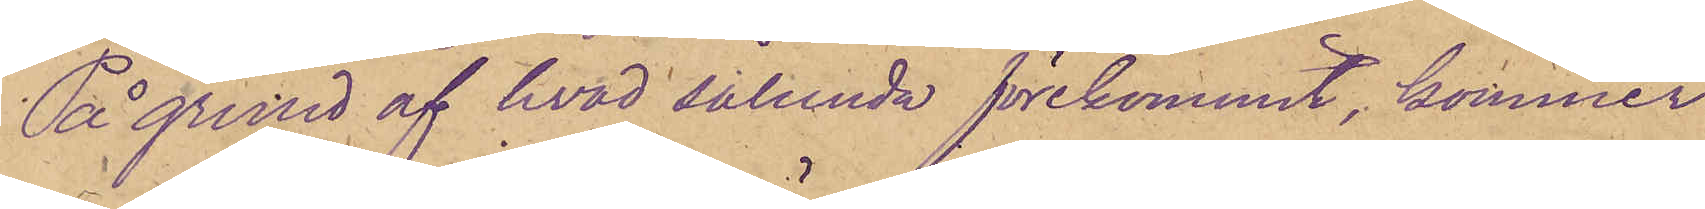På grund af hvad sålunda förekommit, kommer 
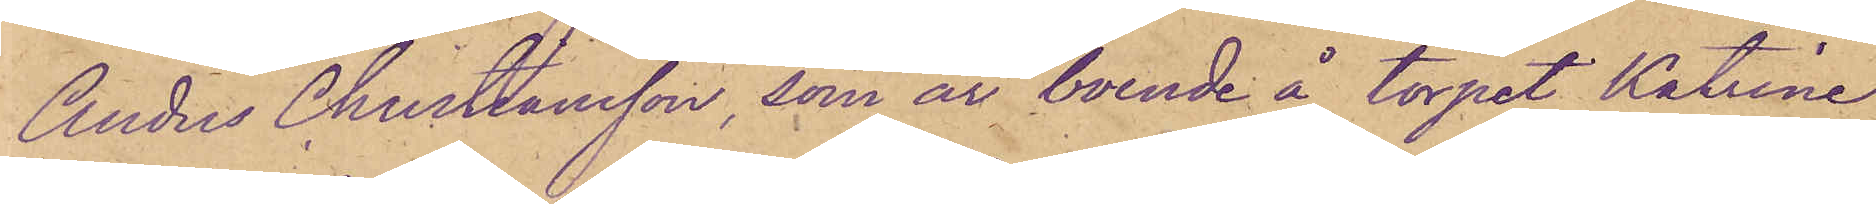Anders Christiansson, som är boende å torpet Katrine¬
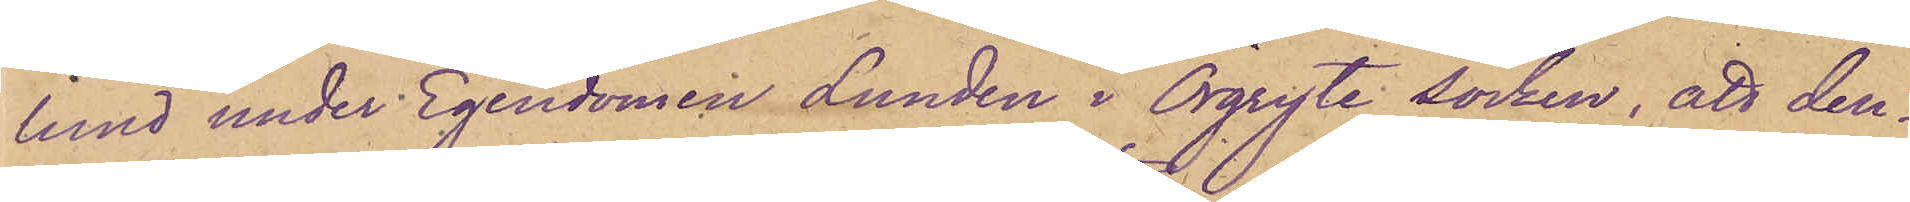lund under Egendomen Lunden i Örgryte socken, att den¬
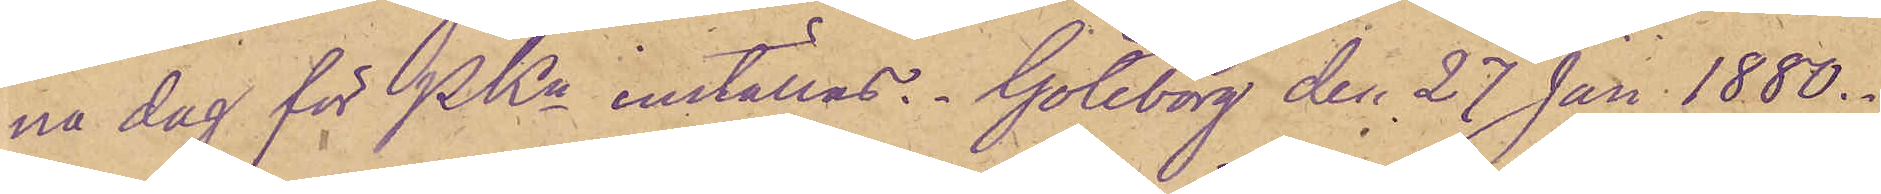ne dag för PKn inställas. Göteborg den 27 Jan 1880.
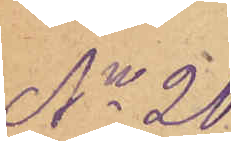No 20.
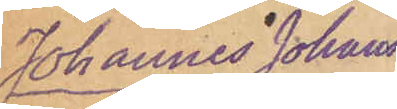Johannes Johans¬
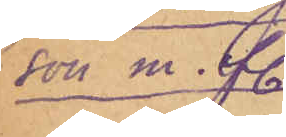son m. fl.
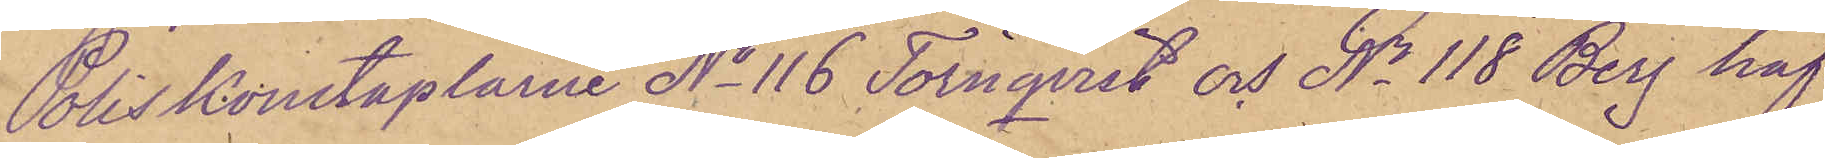Poliskonstaplarna No 116 Törnqvist och No 118 Berg haf¬
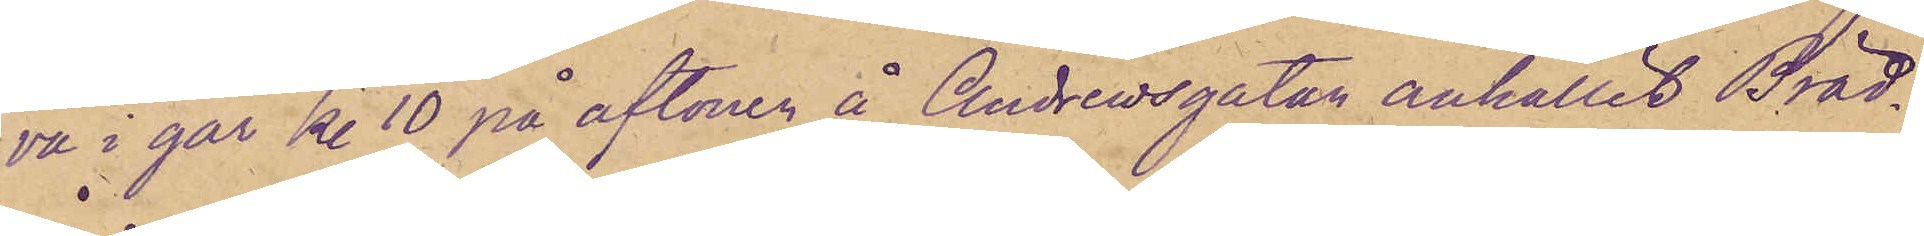va i går kl 10 på aftonen å Andrewsgatan anhållit Bräd¬
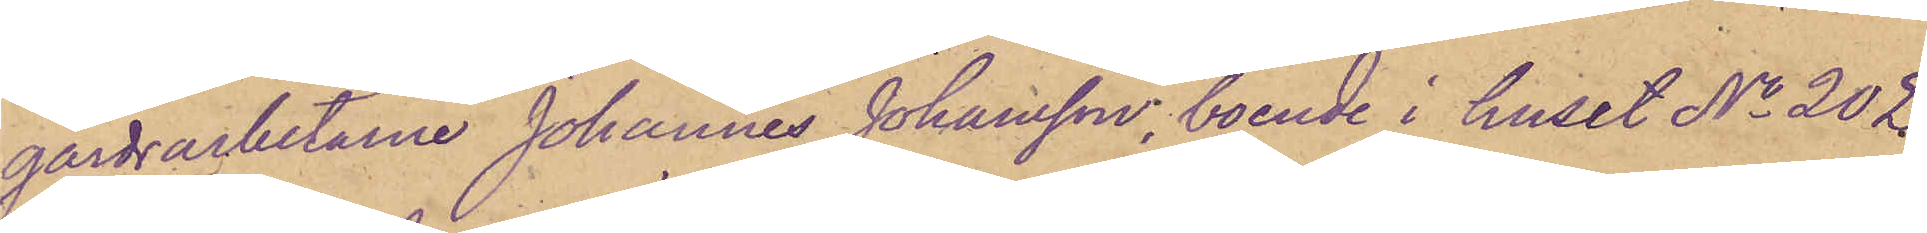gårdsarbetarne Johannes Johansson, boende i huset No 202
